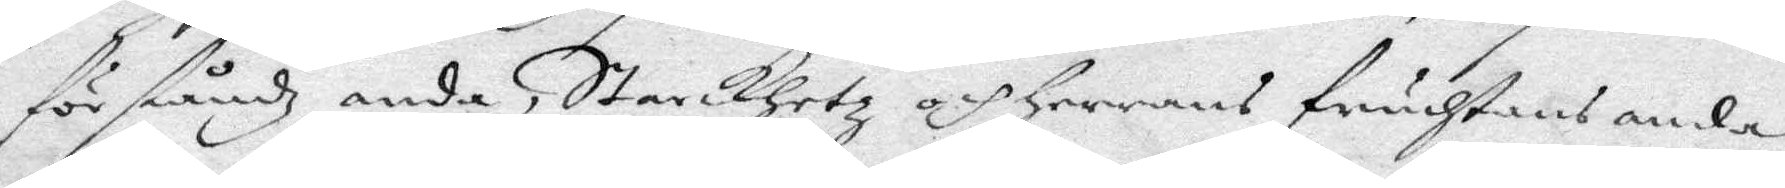förståndz anda, Starckhetz och Herrens fruchtans anda,
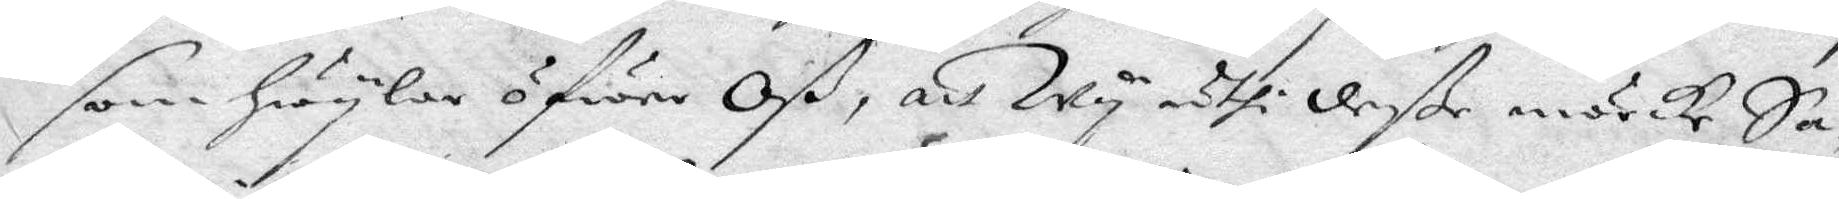som hwylar öfwer Oß, att Wy uthi deße mörcke Sa¬
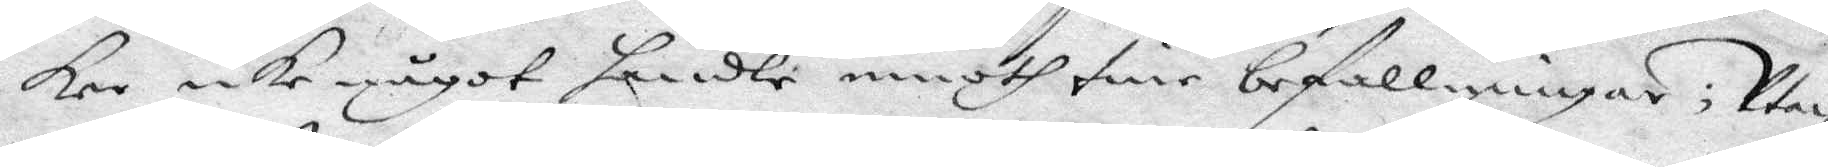ker icke något handle emoth sine befallningar; Utan
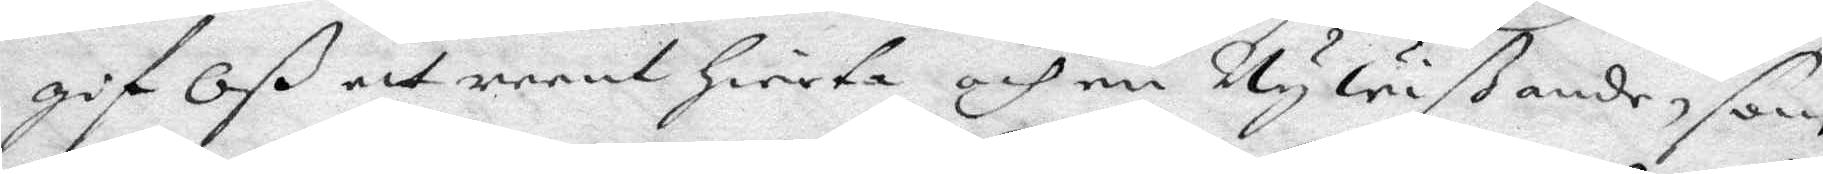gif Oß ett reent Hierta och en Ny liußande, som
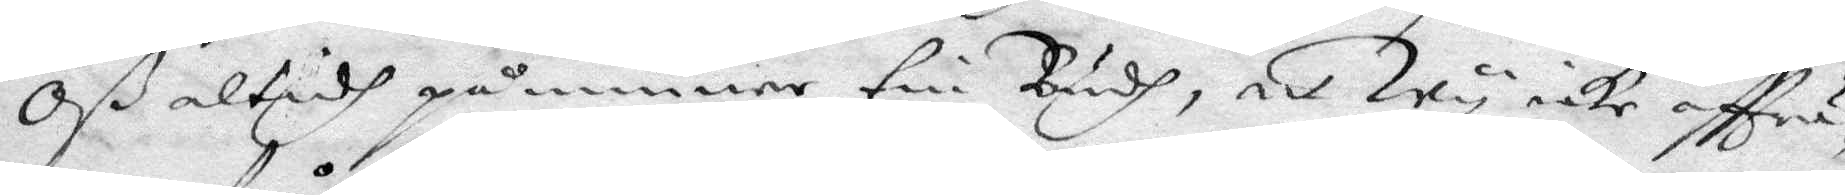Oß altidh påminne tin Gudh, at Wy icke afftru¬
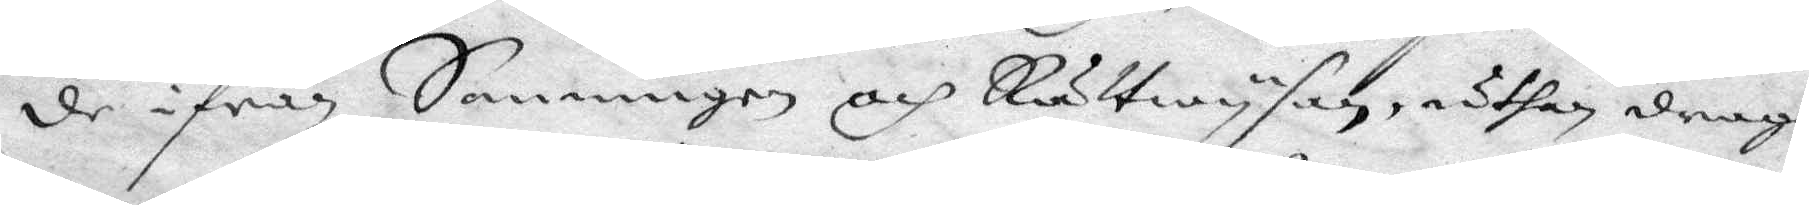de ifrån Sanningen och Rättwysan, uthan drage
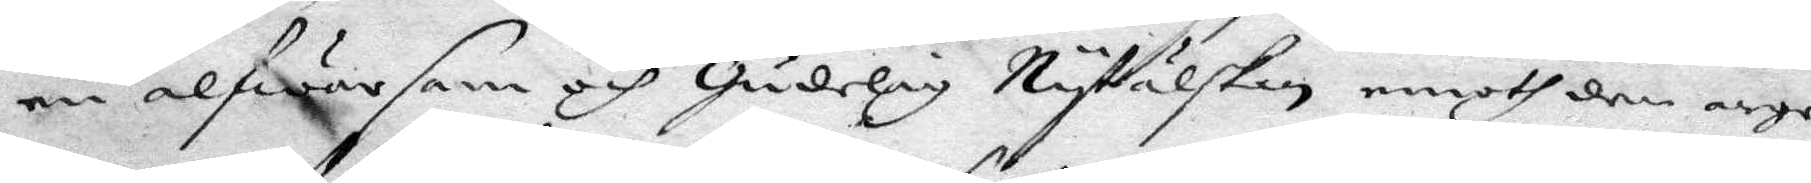en alfwarsam och Gudelig Nytälskan moth dem arge
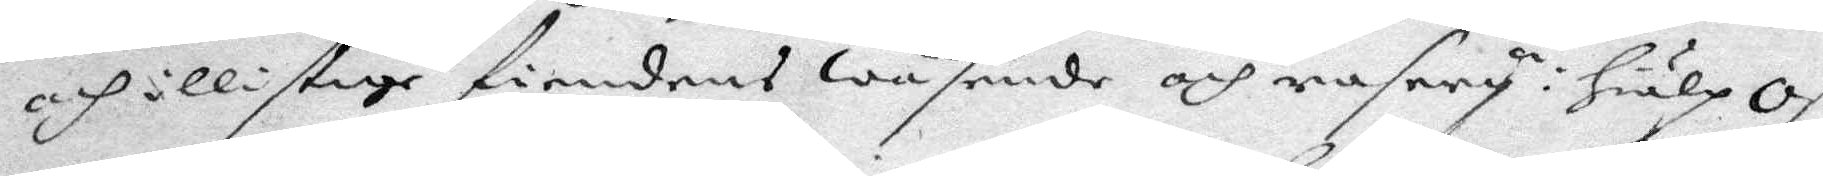och illistige fiendens Wäsende och rasery: Hiälp Oß
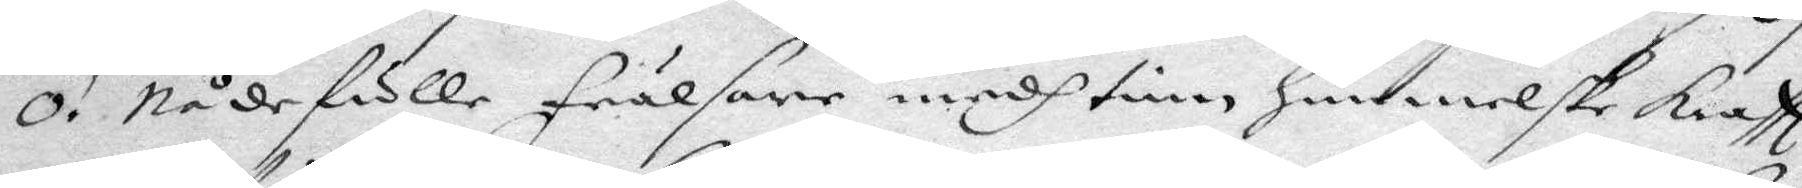O! Nådefulle frälsare medh tinn Himmelske Krafft
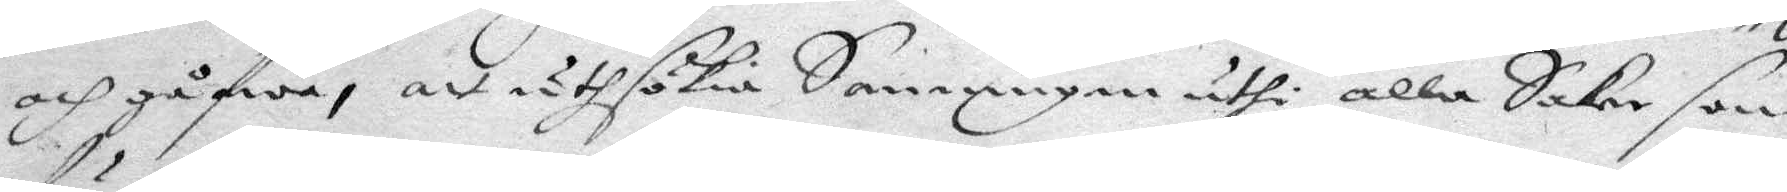och gåfwa, at uthsökia Sanninen uthi alla Saker som
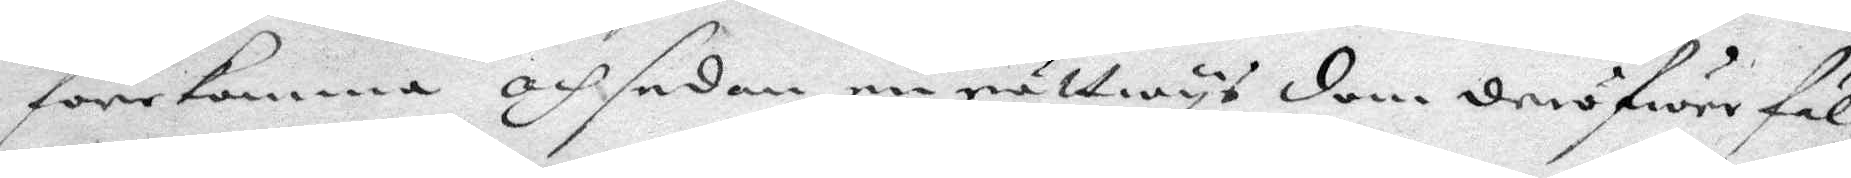förekomma och sedan en rättwys dom deröfwer fäl¬
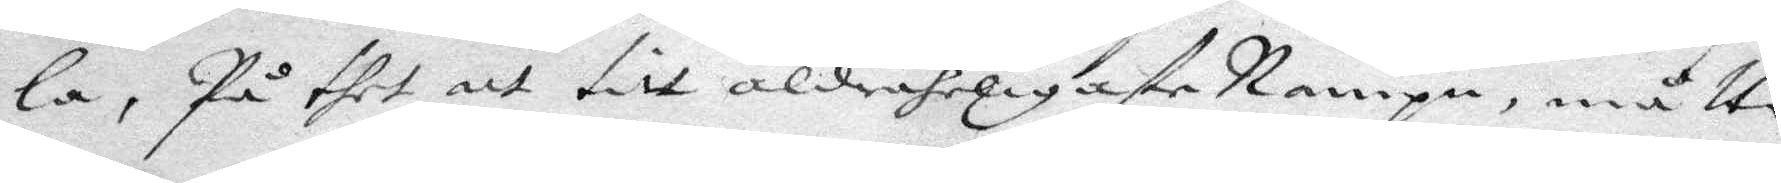la, På thet att titt aldraheligaste Nampn, måtte
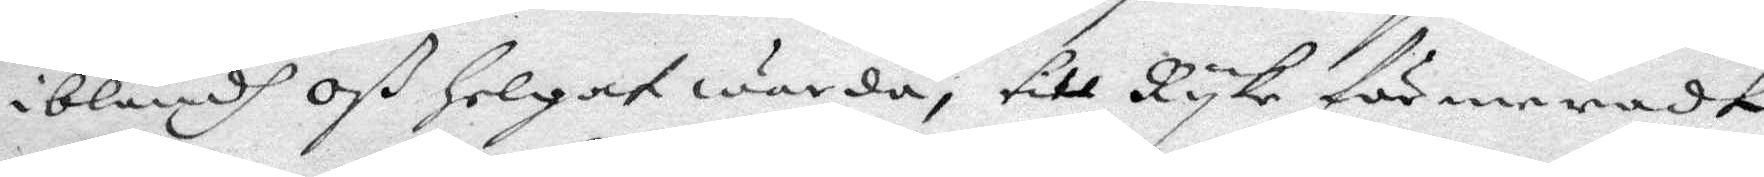iblandh Oß Helgat warda, till Ryke för meradt,
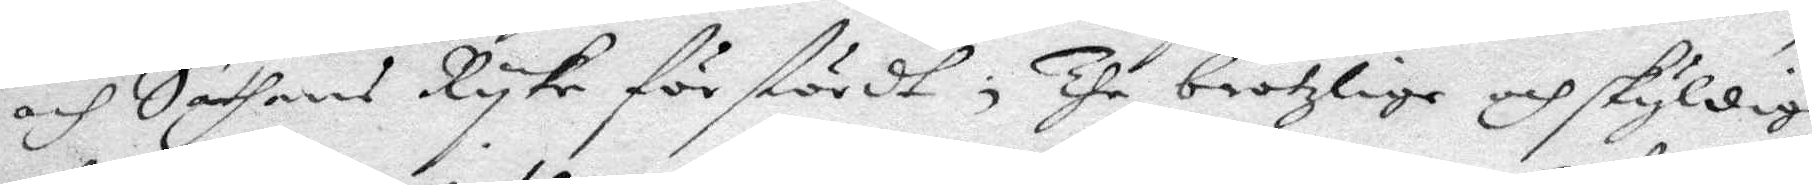och Sathans Ryke förstördt, The brotzlige och skyldige
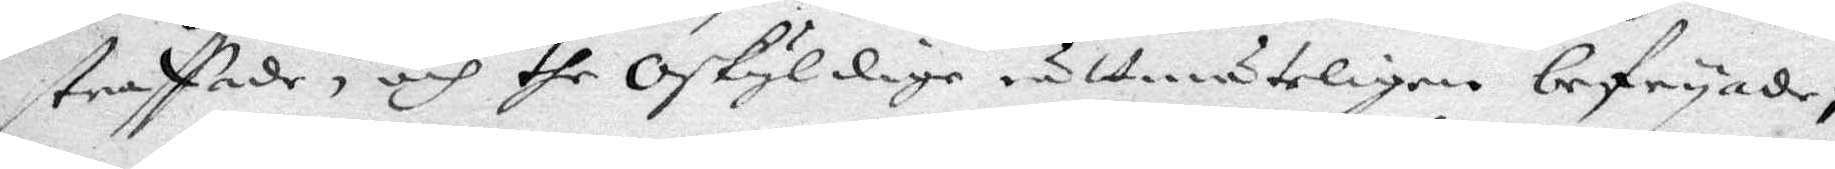straffade, och the Oskyldige rättmäteligen befryade
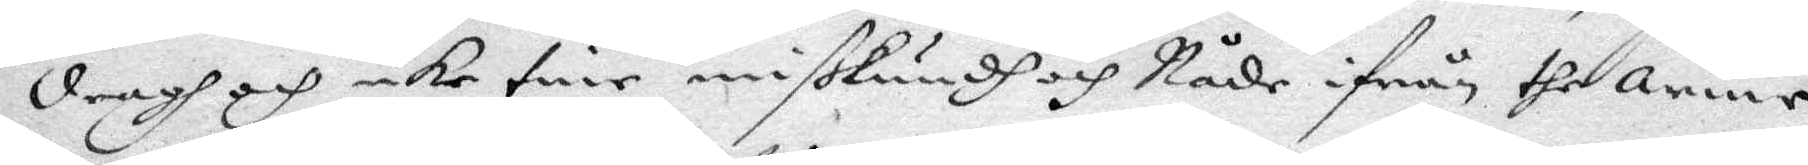dragh och icke tine mißkundh och Nåde ifrån the anne
